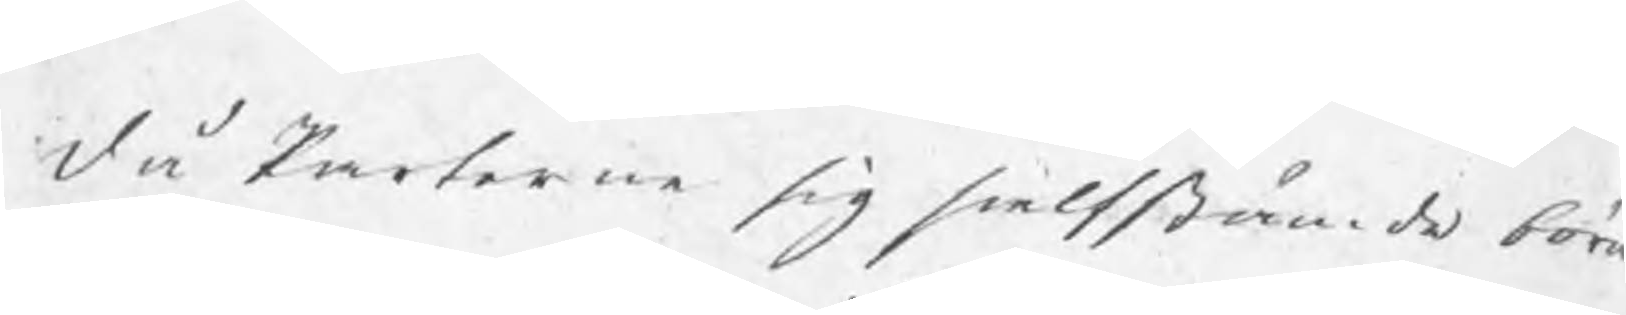då Parterne sig sielfstämde böra
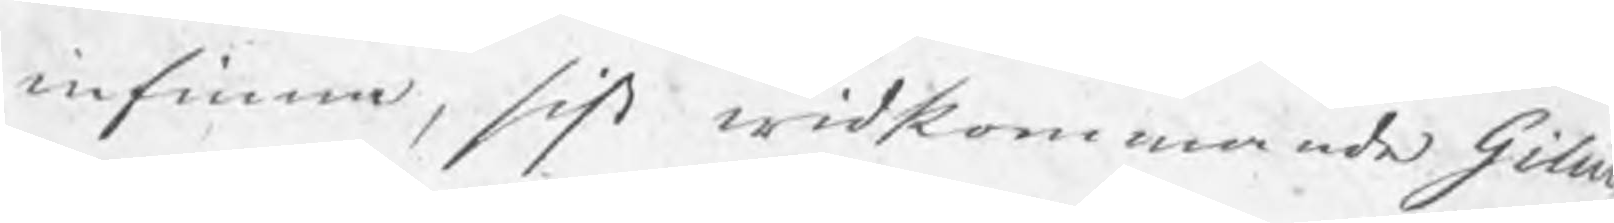infinna, sist widkommande Gilius
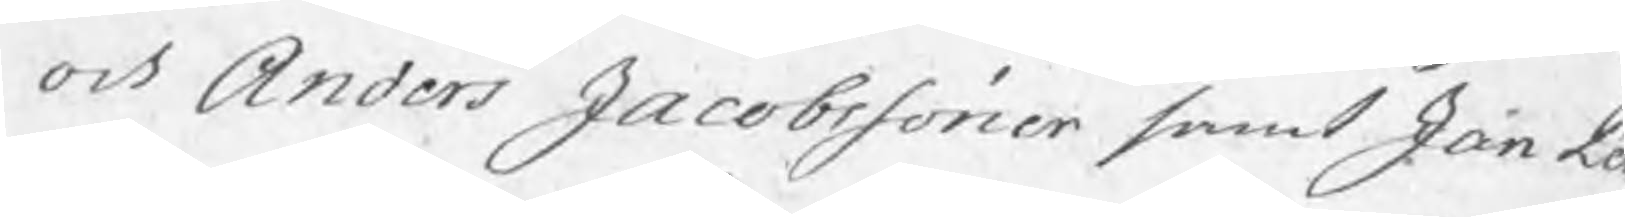och Anders Jacobssöner samt Jon Pe
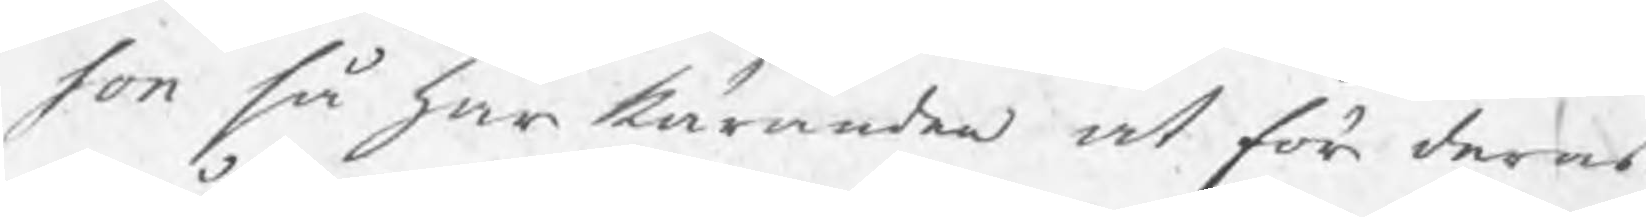son så har käranden at för deras
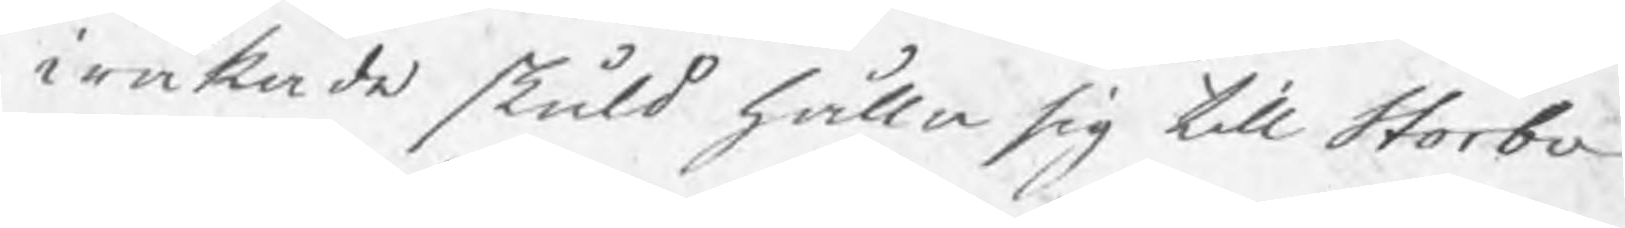iråkade skuld hålla sig till Storbo
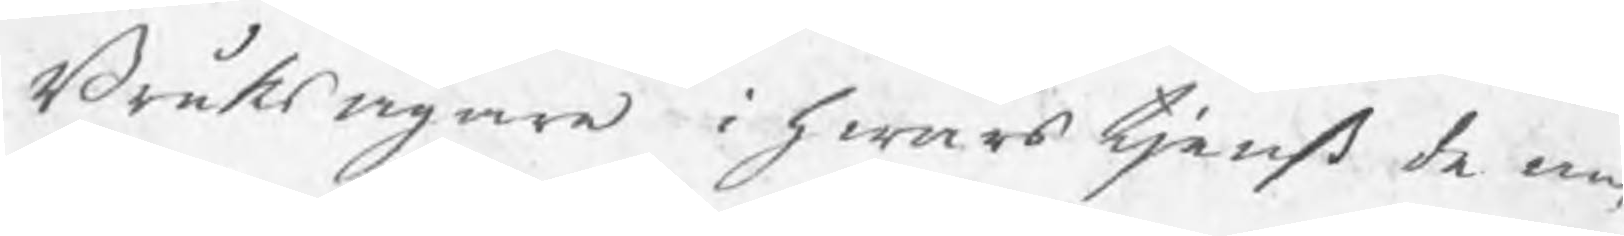Bruksägare i hwars tjenst de an¬
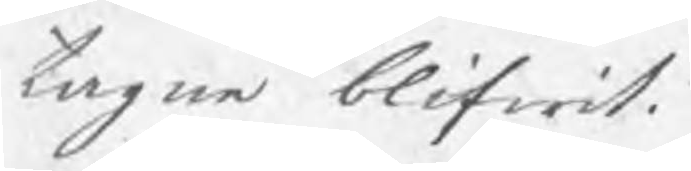tagne blifwit.
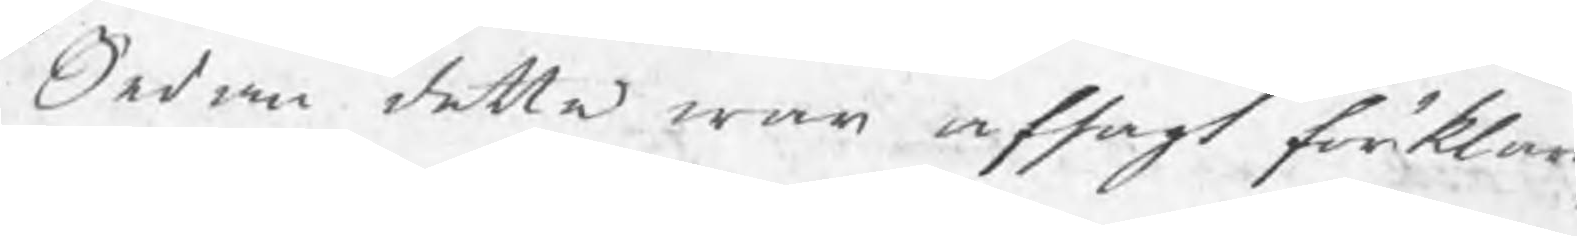Sedan detta war afsagt förklar
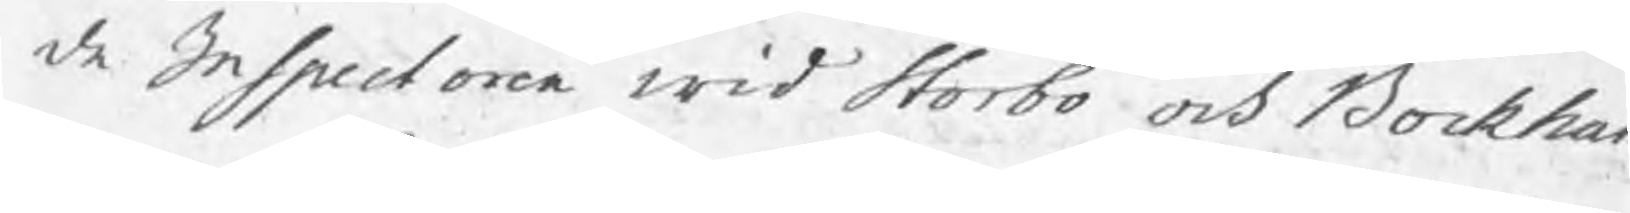de Inspectoren wid Storbo och Bockham
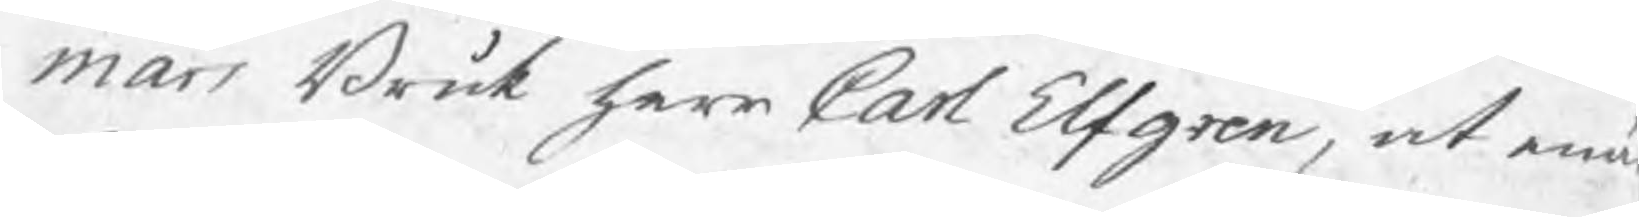mars Bruk herr Carl Elfgren, at enä
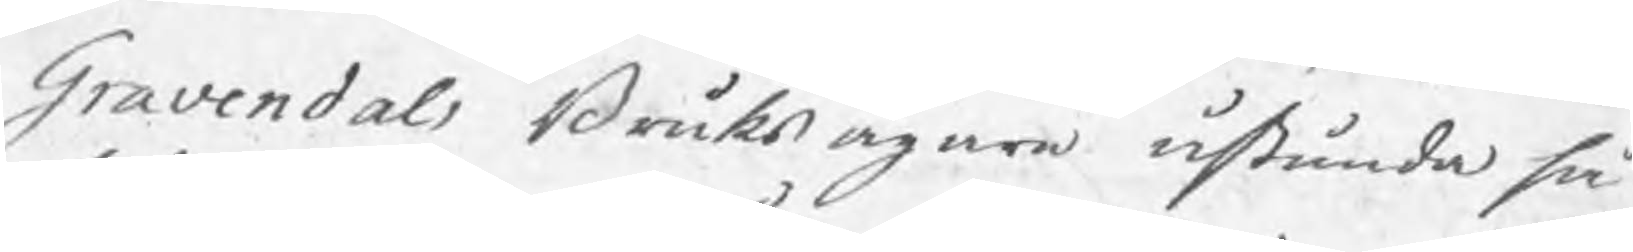Gravendals Bruksägare åstunda så
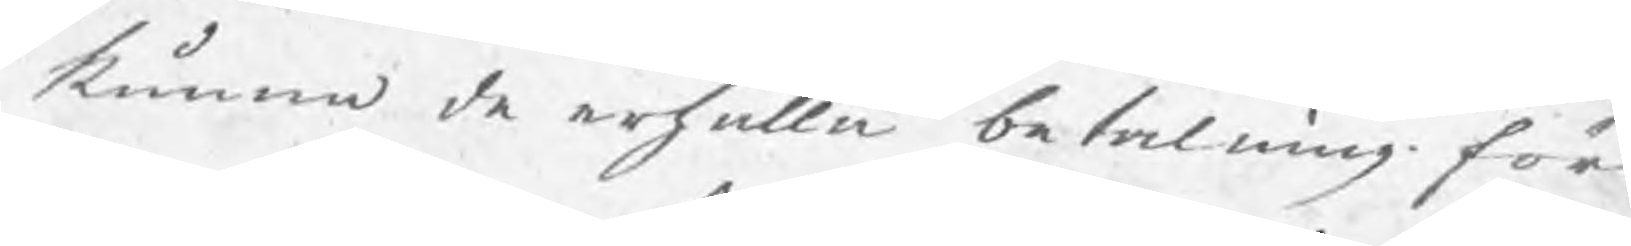kunna de erhålla betalning för
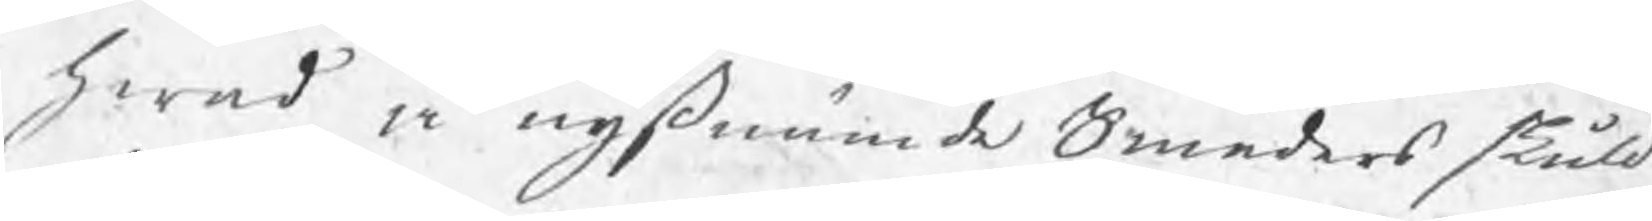hwad å nyßnämde Smeders skuld
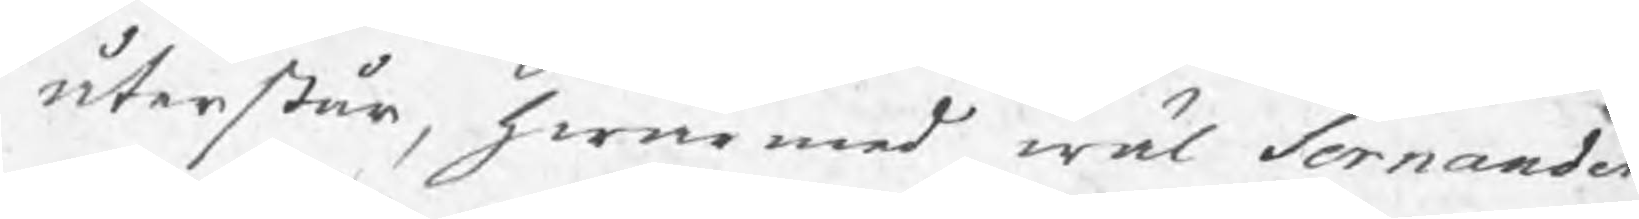återstår, hwarmed wäl Sernander
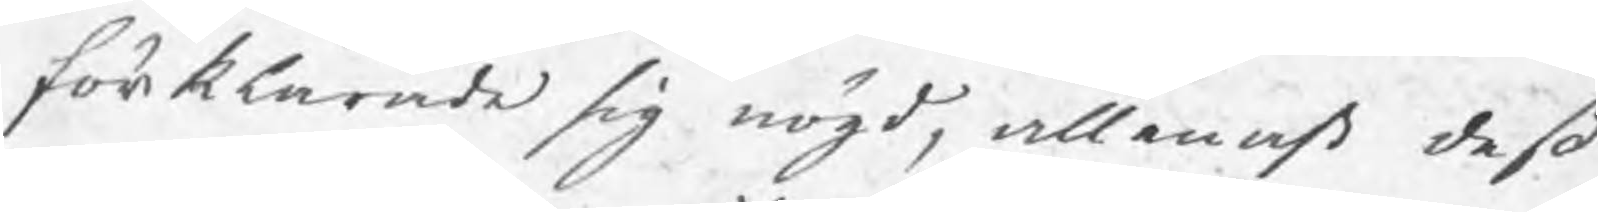förklarade sig nögd, allenast deß
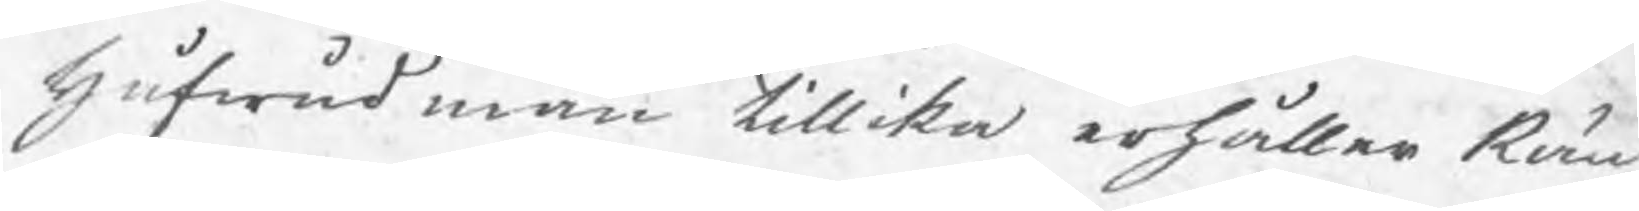hufwudman tillika erhåller Rän¬
